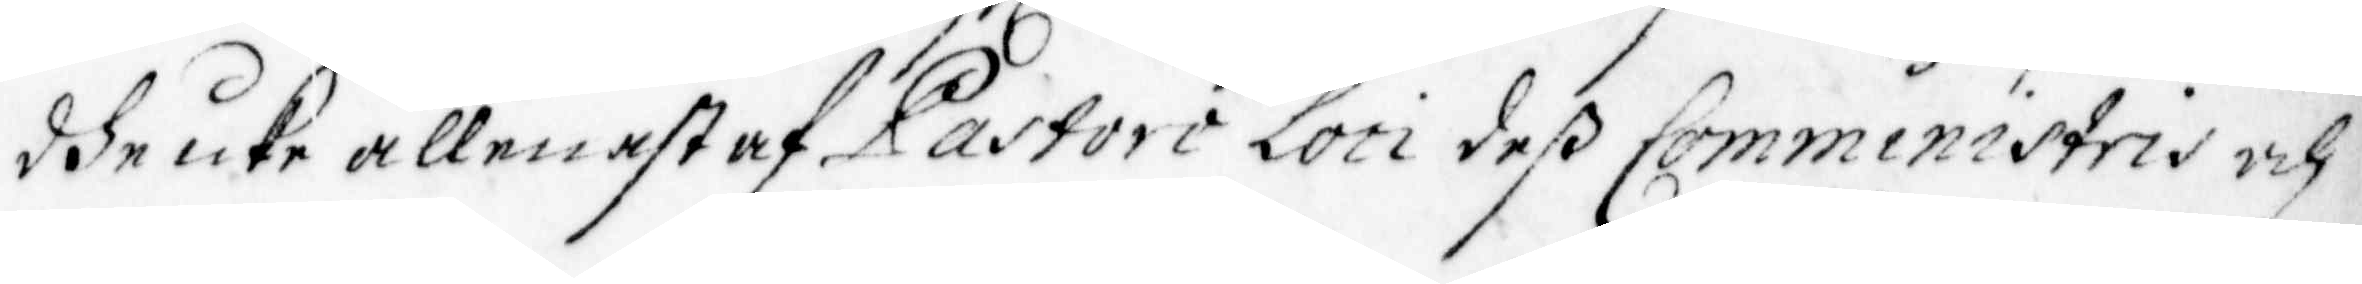dhe icke allenast af Pastore loci deß Comministris och
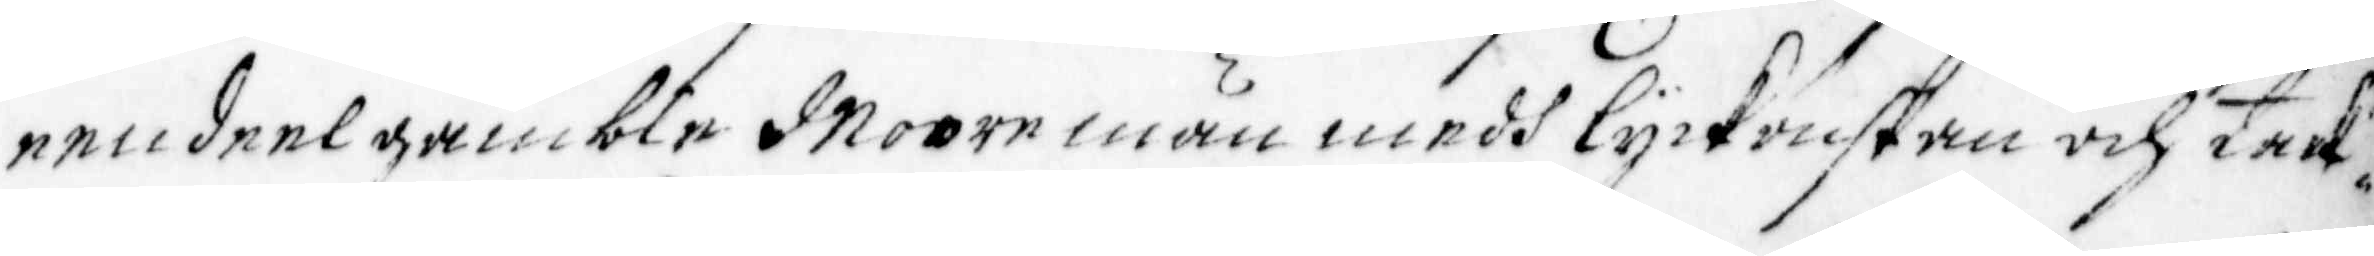eendeel gamble Mooremän medh lyckönskan och tack¬
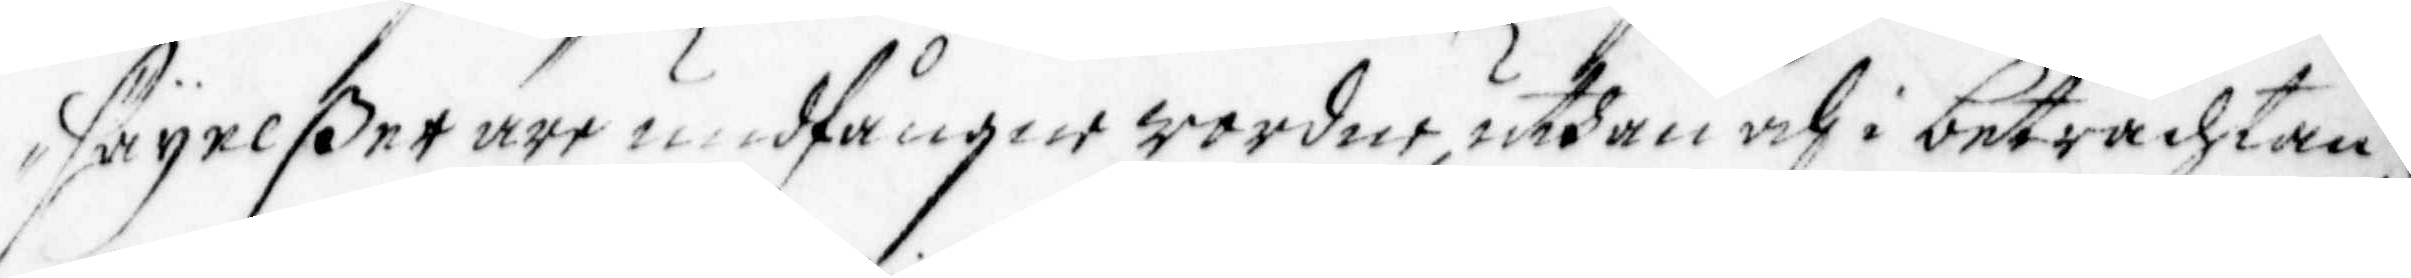säijelßer äre undfångne wordne, uthan och i betrachtan¬
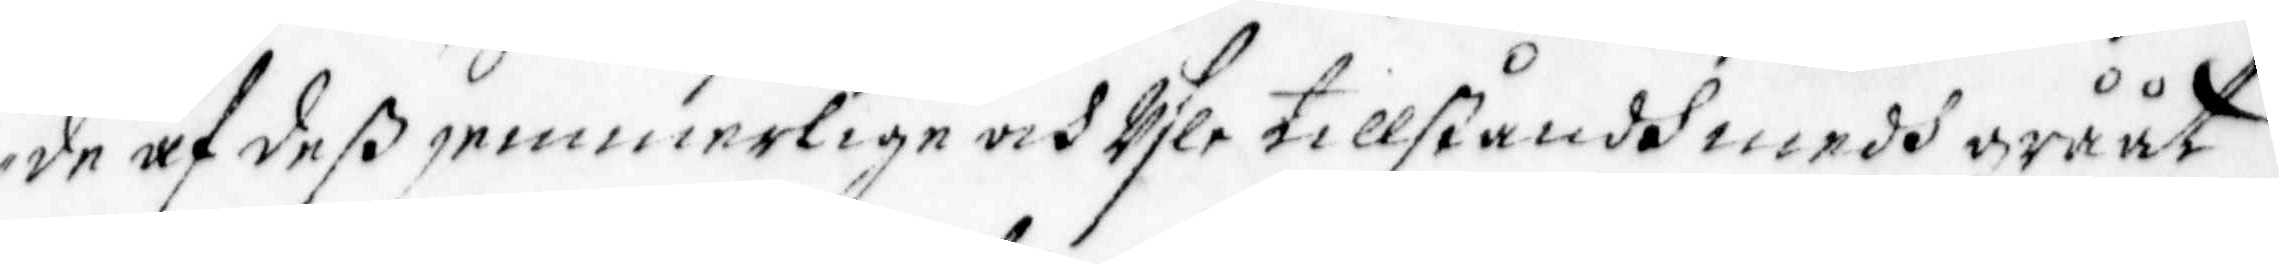de af deß jemmerlige och Usle tillståndh medh grååt
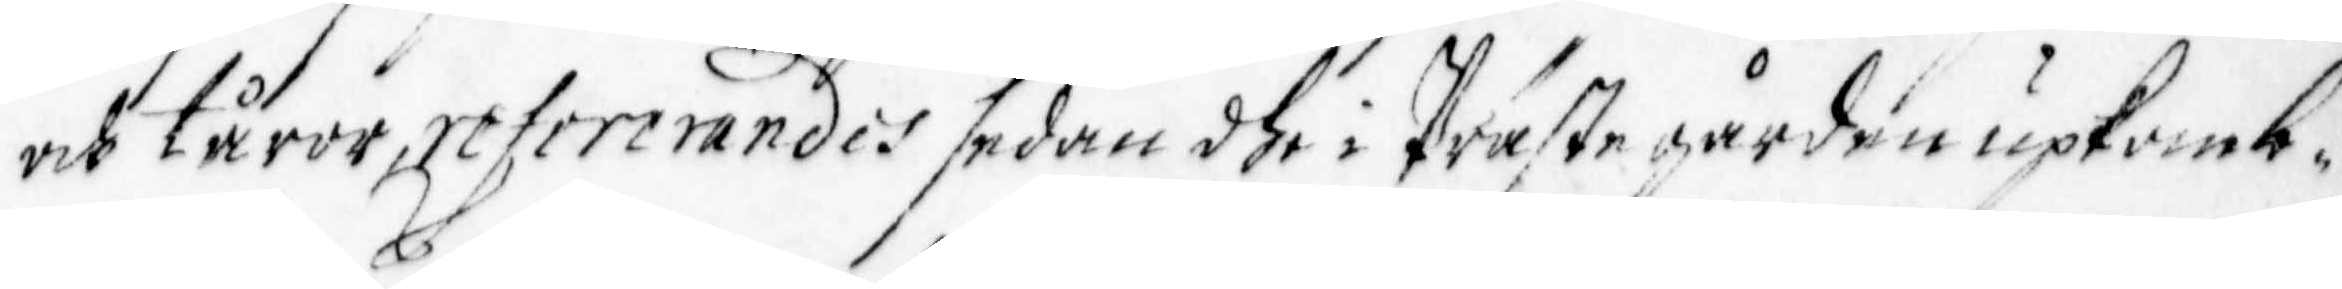och tåror, refererandes sedan dhe i Präste gården upkomb¬
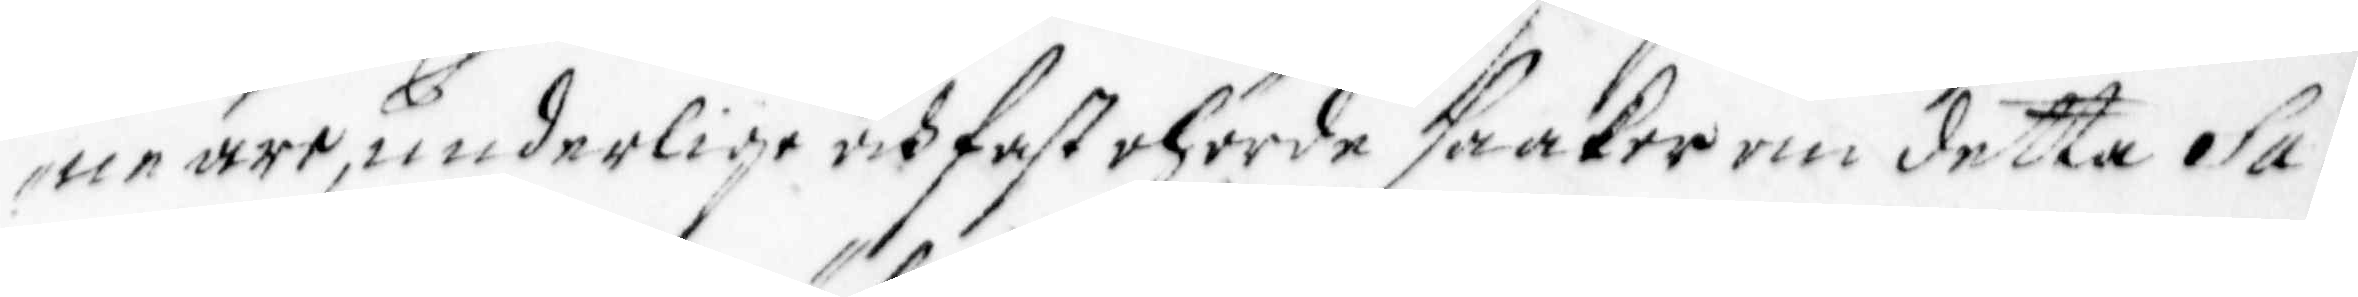ne äre, underlige och fast ohörde saaker om detta Sa¬
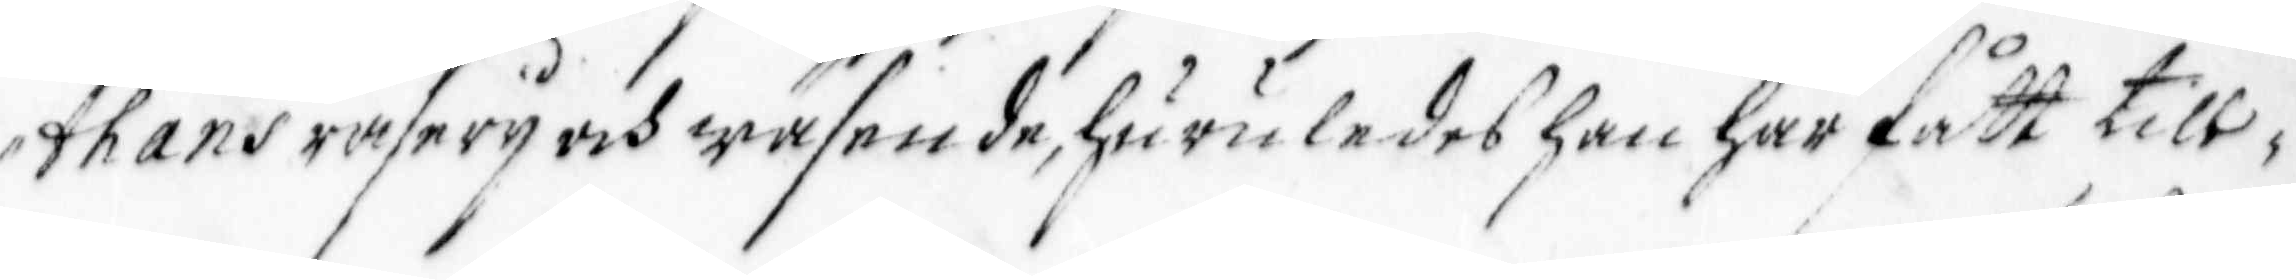thans raserij och wäsende, huruledes han har fått till¬
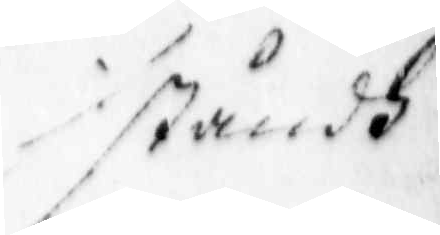ståndh
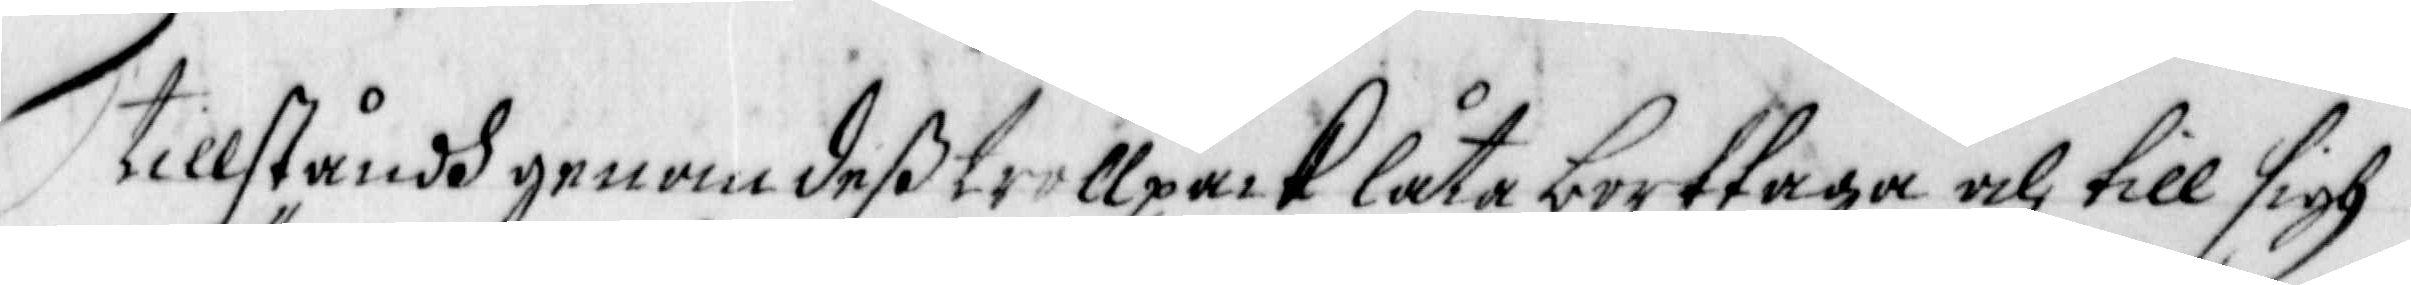tillståndh genom deß trollpack låta borttaga och till sigh
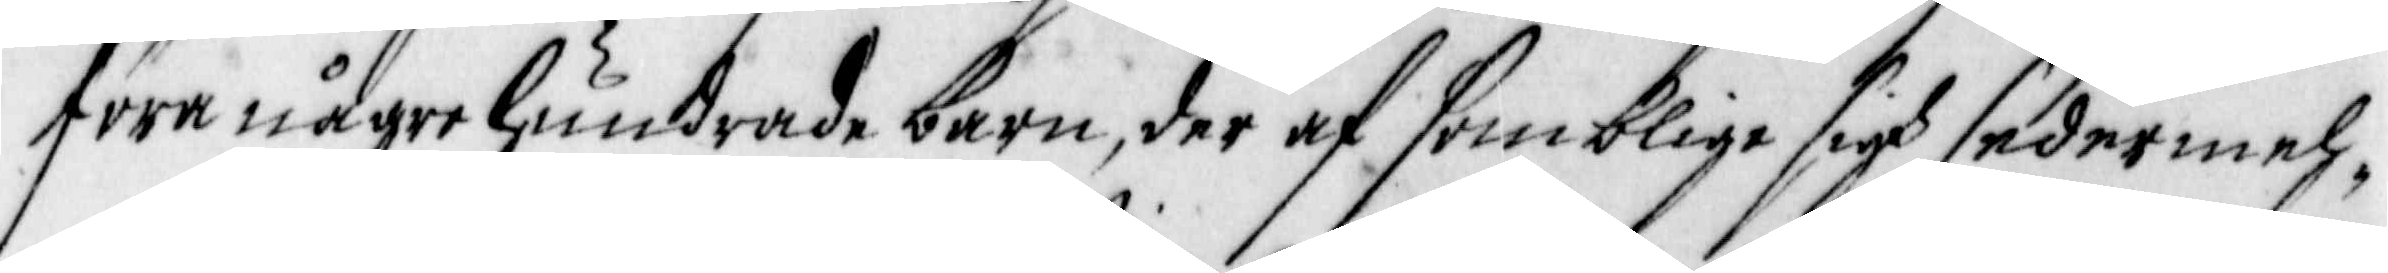före någre hundrade barn, der af somblige sigh sedermeh¬
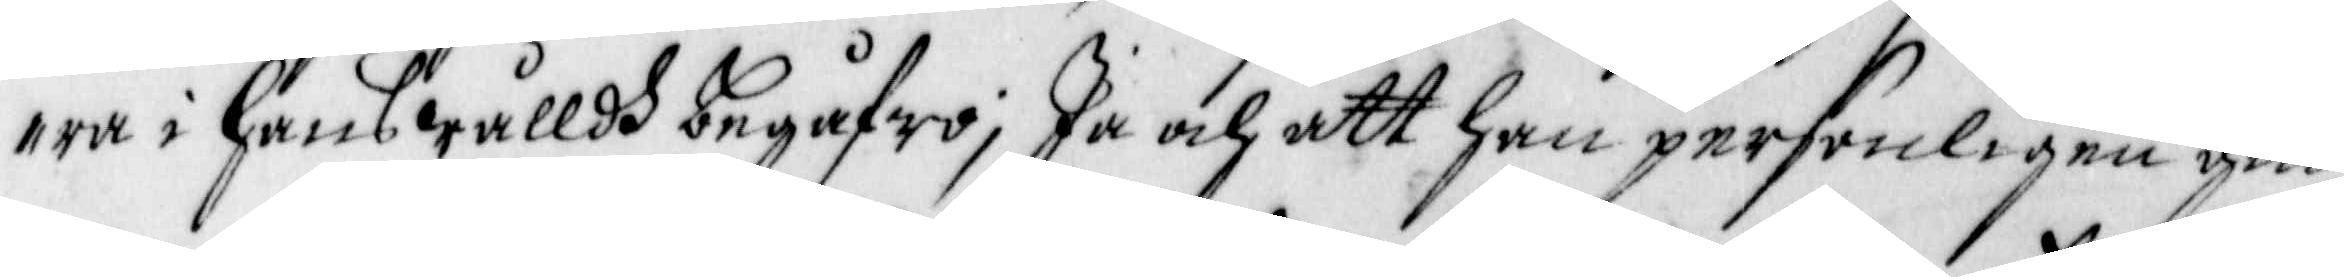ra i hans wålldh begåfwo; Ja och att han personligen gin¬
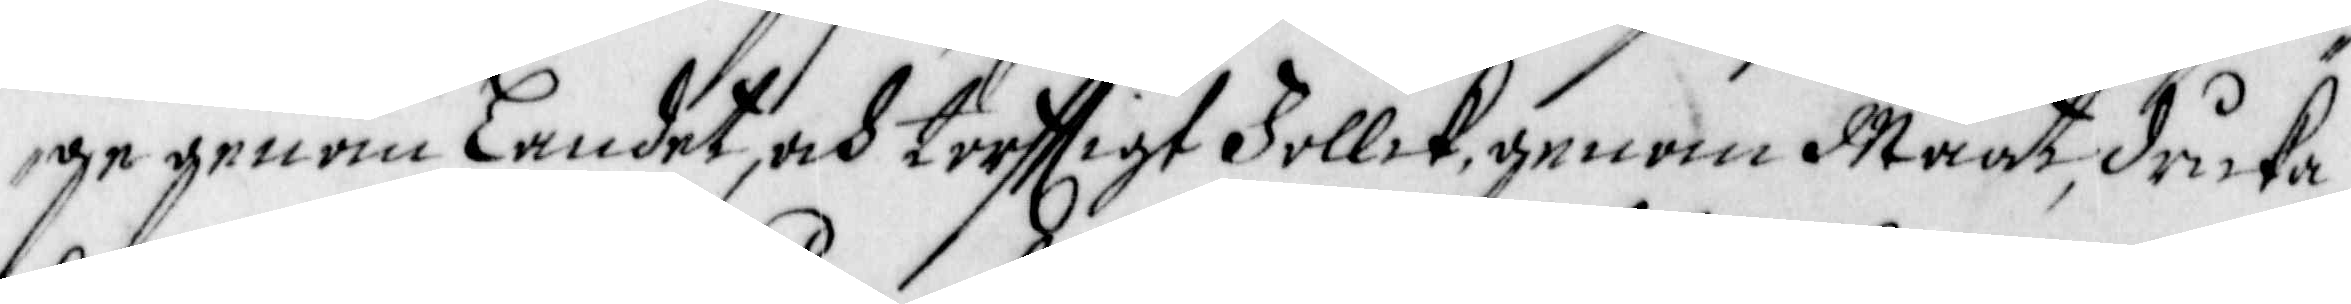ge genom Landet, och torfftigt Follck, genom Maat, dricka,
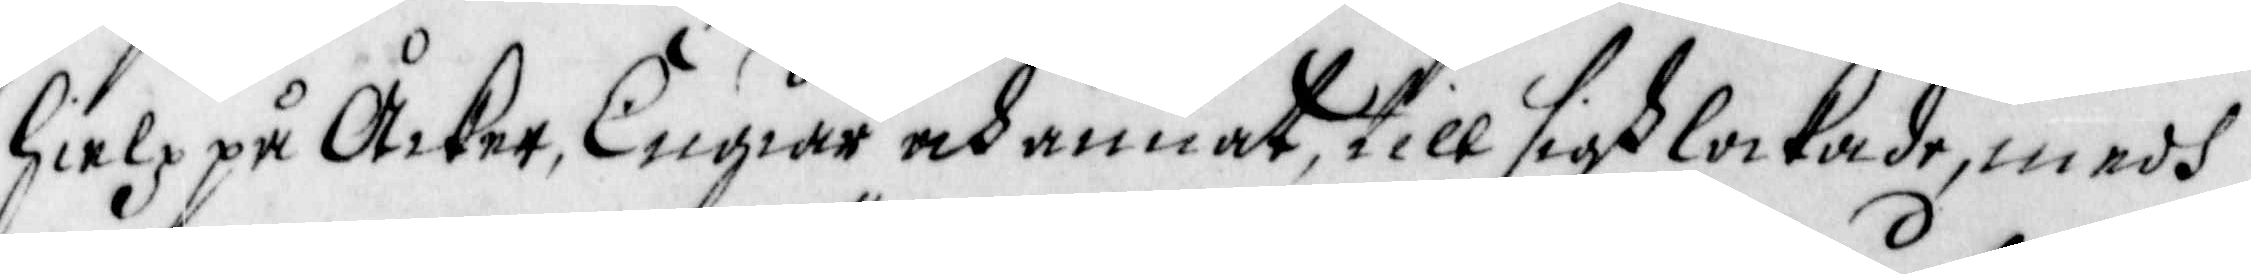hielp på Åcker, Engiar och annat till sigh lockade, medh
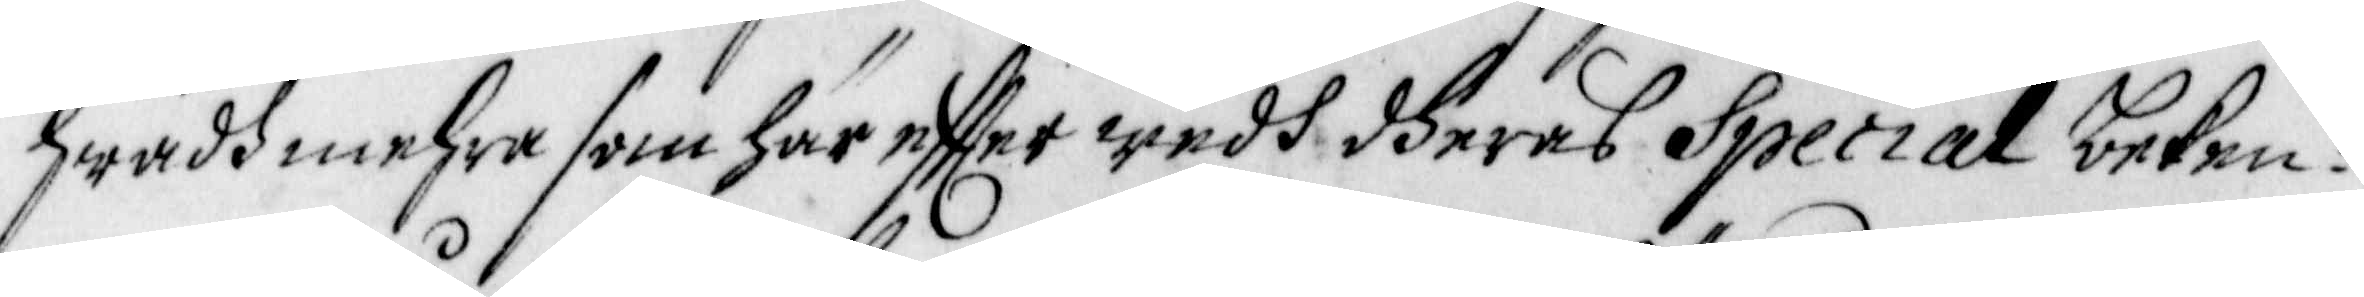hwadh mehra som här effter wedh dheras Special beken¬
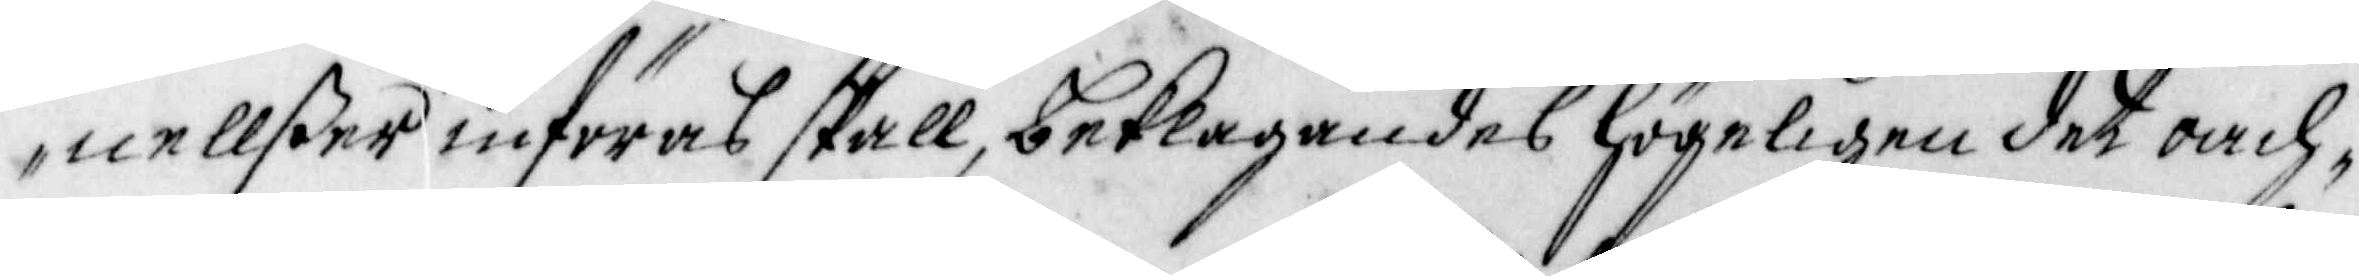nellßer införas skall, beklagandes högeligen det oach¬
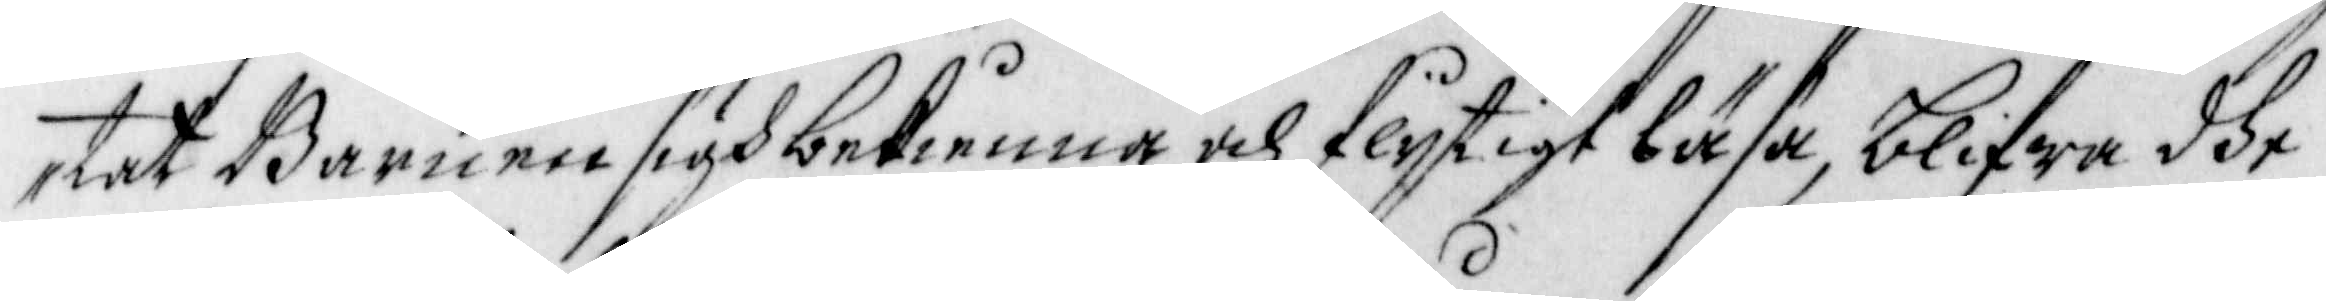tat Barnen sigh bekienna och flijtigt läsa, blifwa dhe
